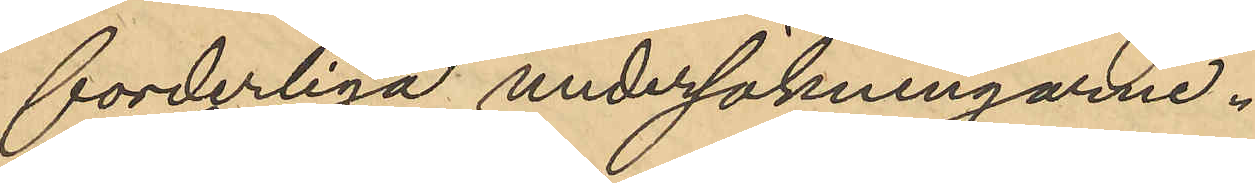forderliga undersökningarne.
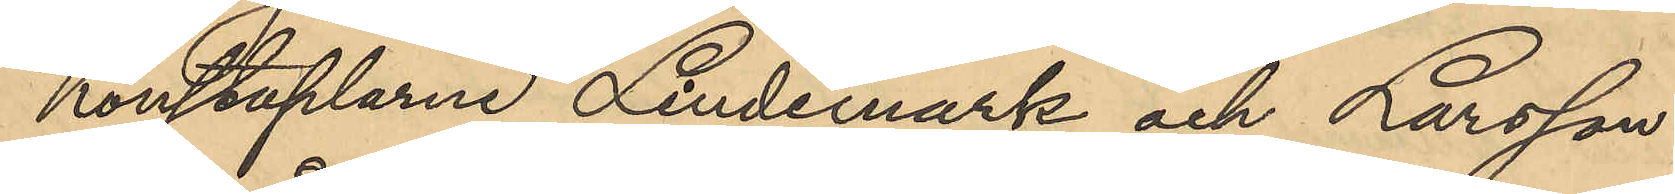konstaplarne Lindemark och Larsson
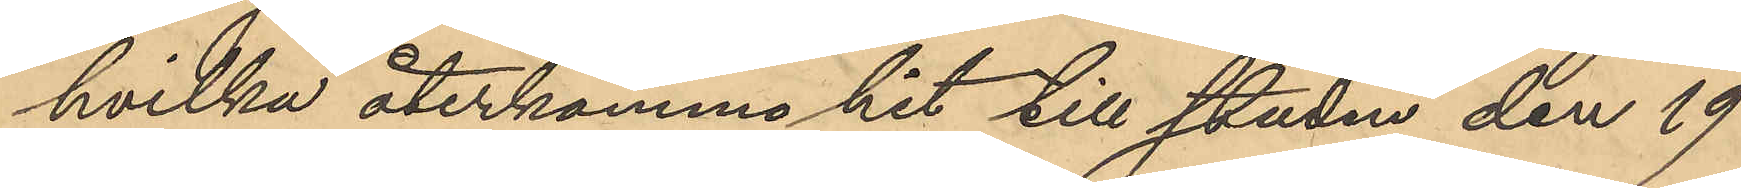hvilka återkommo hit till staden den 19
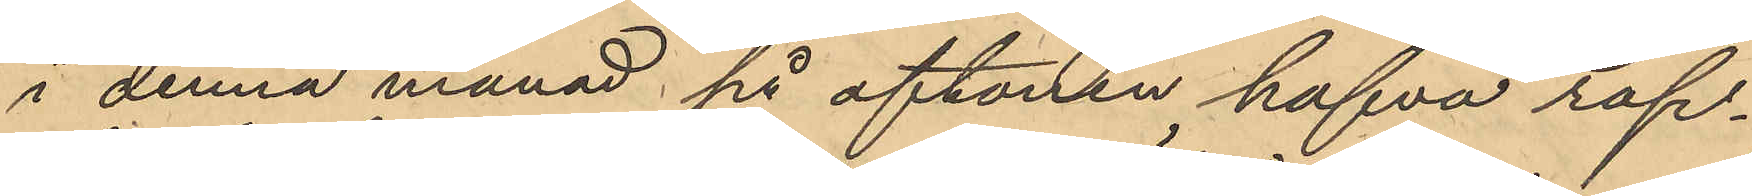i denna månad på aftonen hafva rap¬
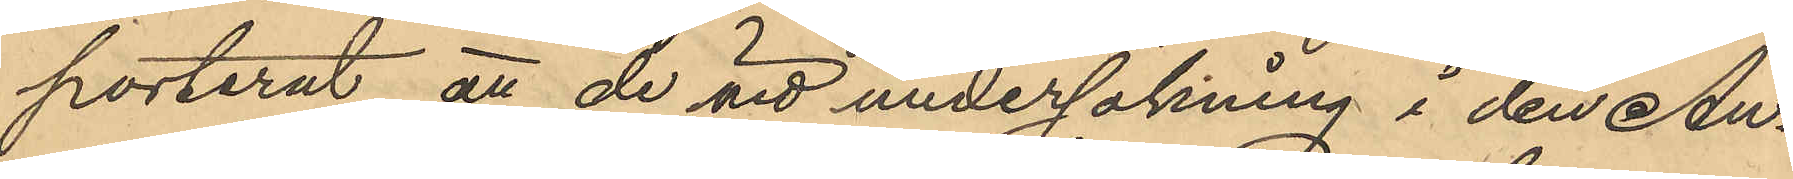porterat, att de vid undersökning i den Au¬
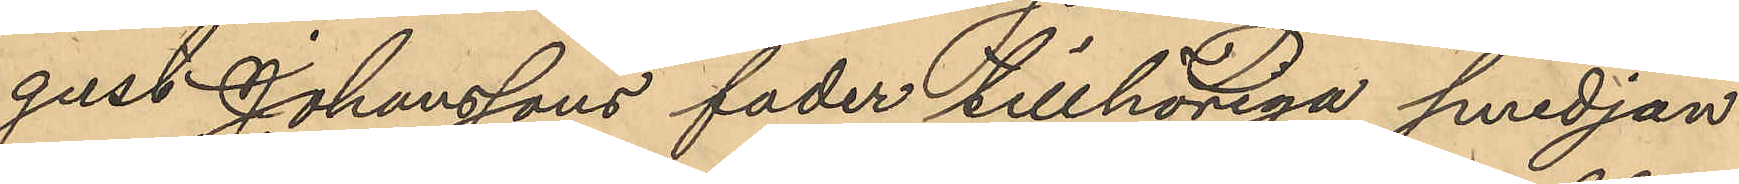gust Johanssons fader tillhöriga smedjan
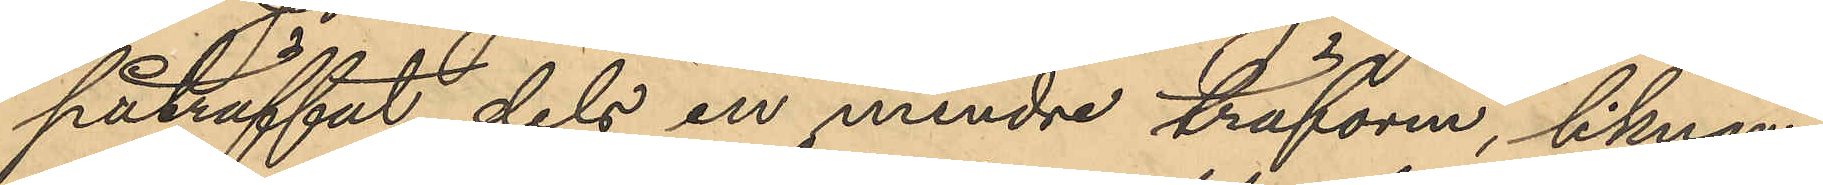påträffat dels en mindre träform, liknan¬
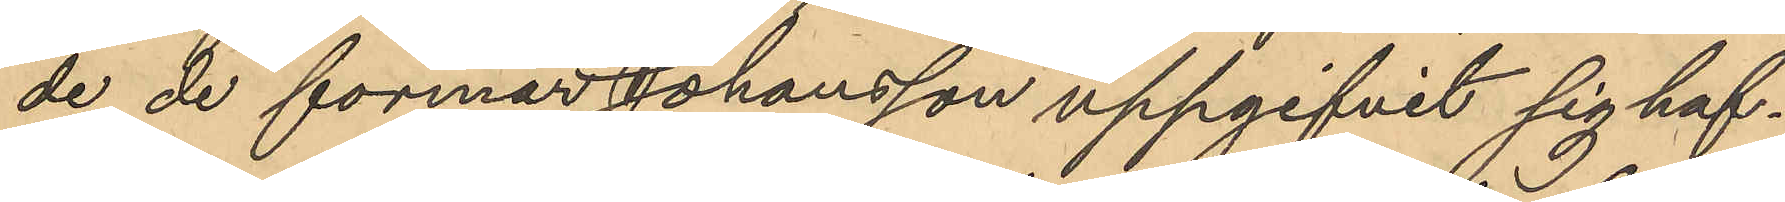de de formar Johansson uppgifvit sig haf¬
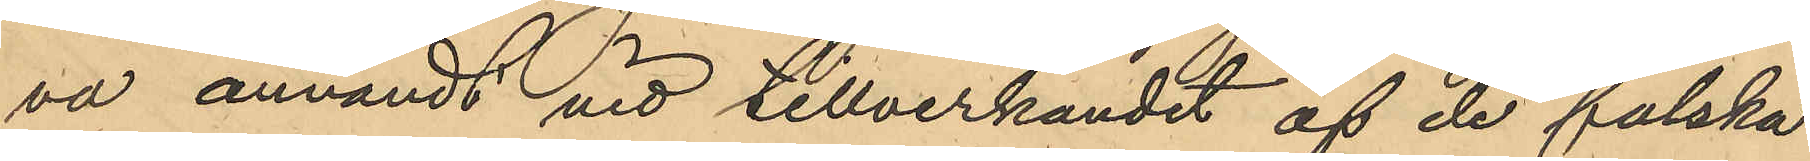va användt vid tillverkandet af de falska
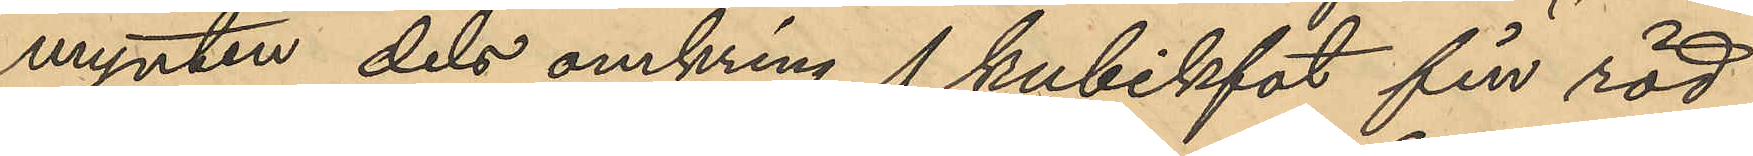mynten dels omkring 1 kubikfot fin röd
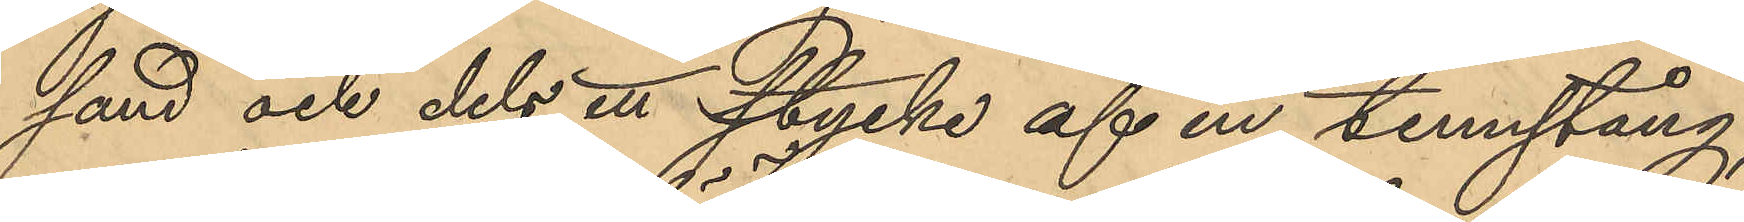sand och dels ett stycke af en tennstång;
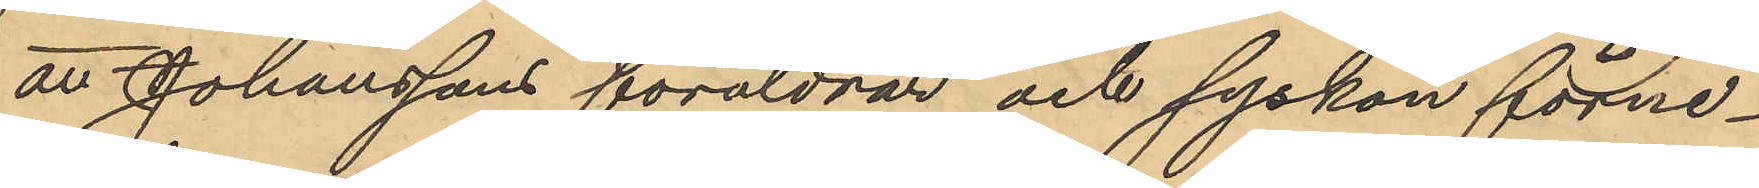att Johanssons föräldrar och syskon förne¬
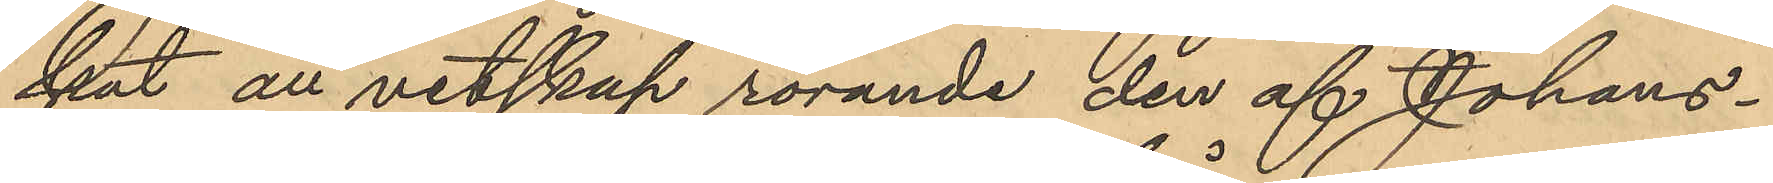kat all vetskap rörande den af Johans¬
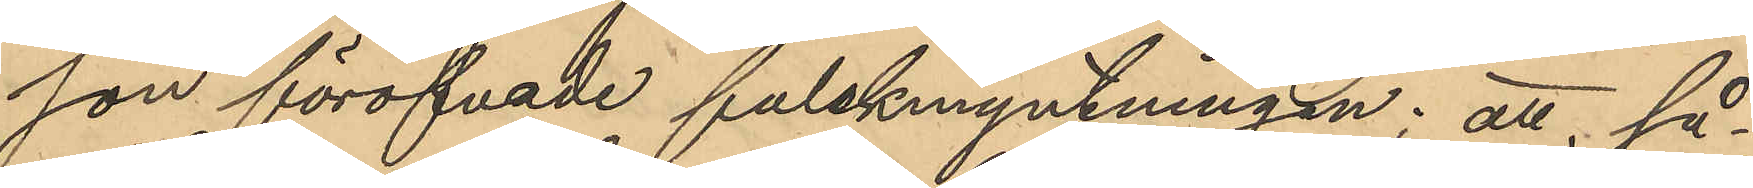son föröfvade falskmyntningen; att så¬
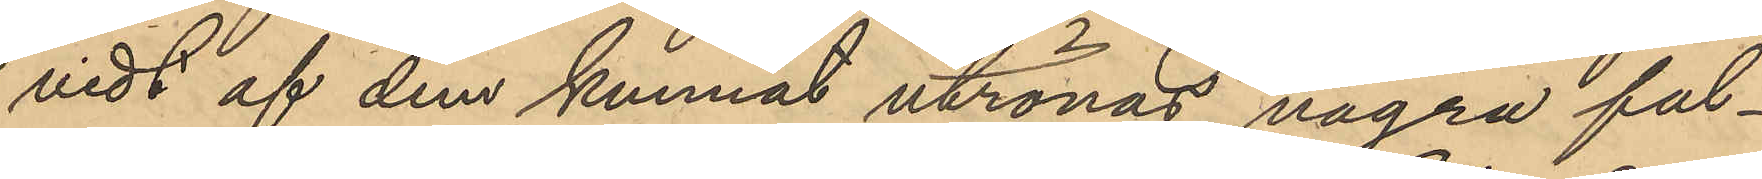vidt af dem kunnat utrönas, några fal¬
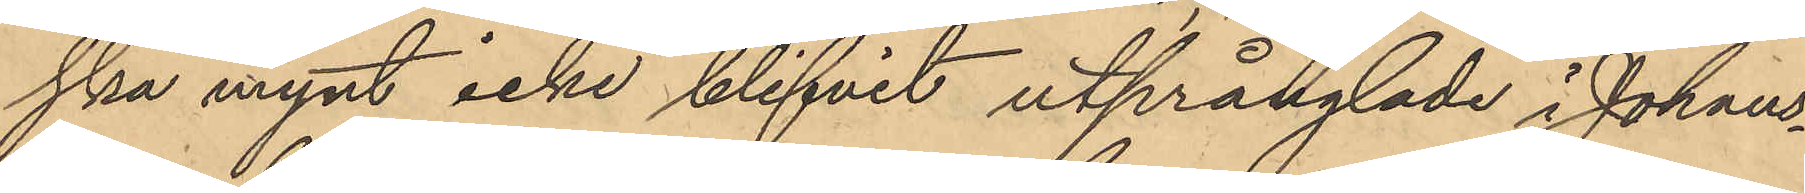ska mynt icke blifvit utprånglade i Johans¬
